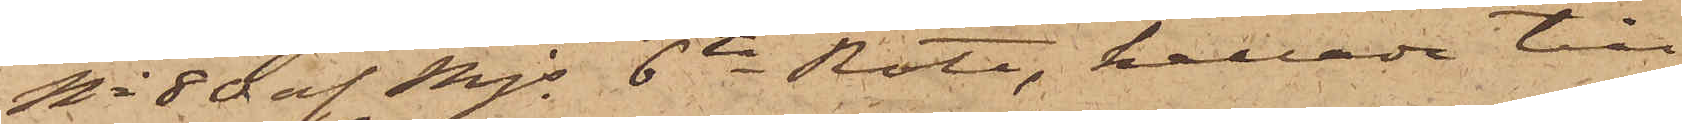No 80 af Mjs 6te Rote, kallade till
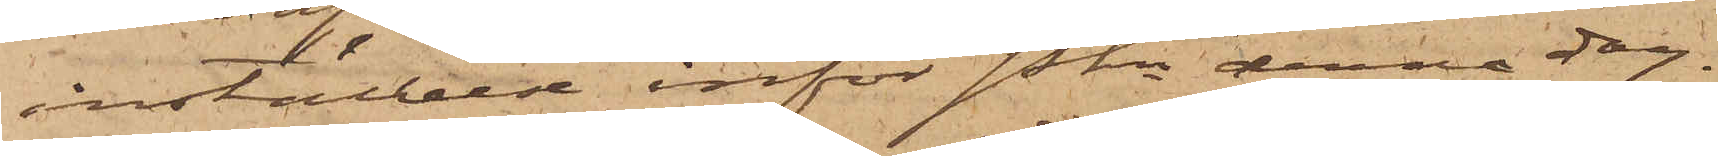inställelse inför Pkn denna dag.
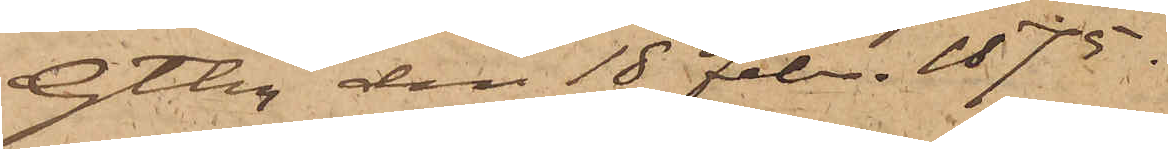Gtbg den 18 Febr. 1875.
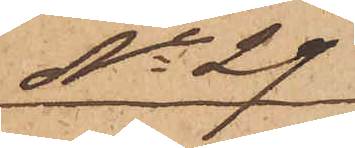No 29
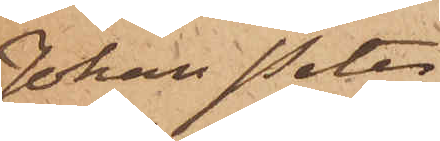Johan Peter
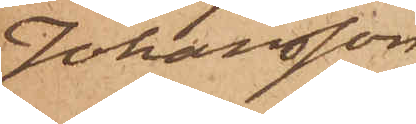Johansson
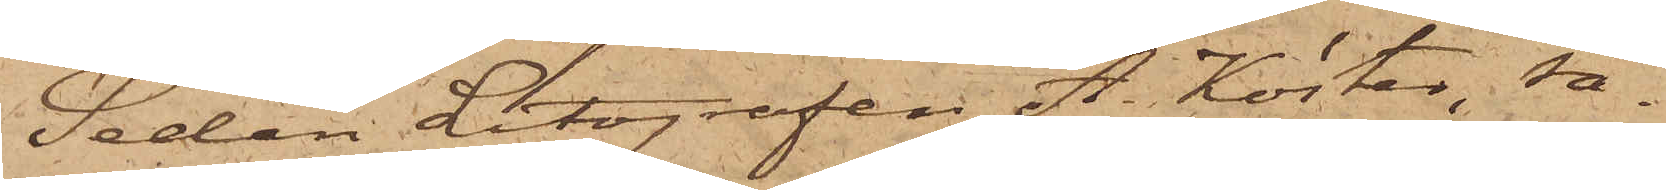Sedan Litografen A. Köster, så¬
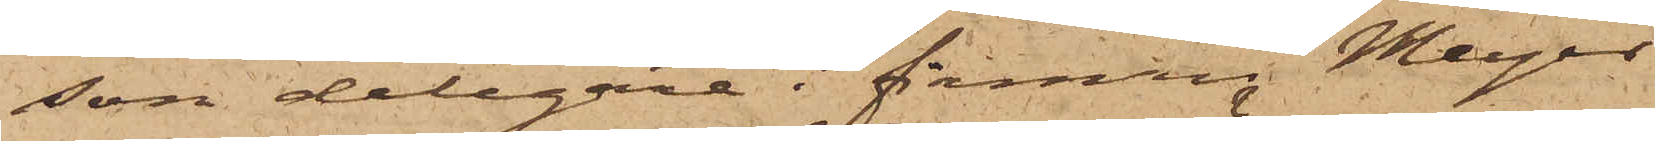som delegare i firman Meyer
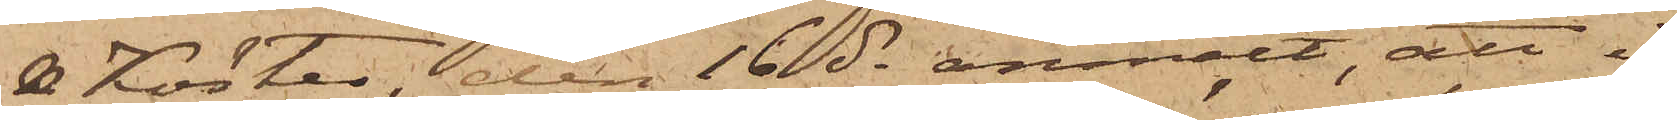& Köster, den 16 ds anmält, att i
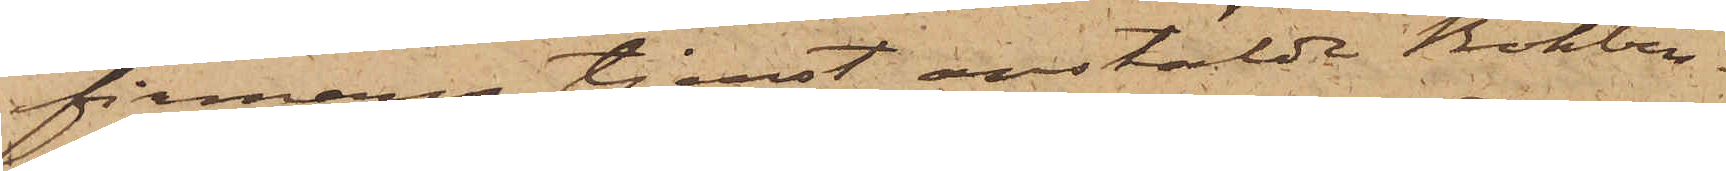firmans tjenst anstälde Bokbin¬
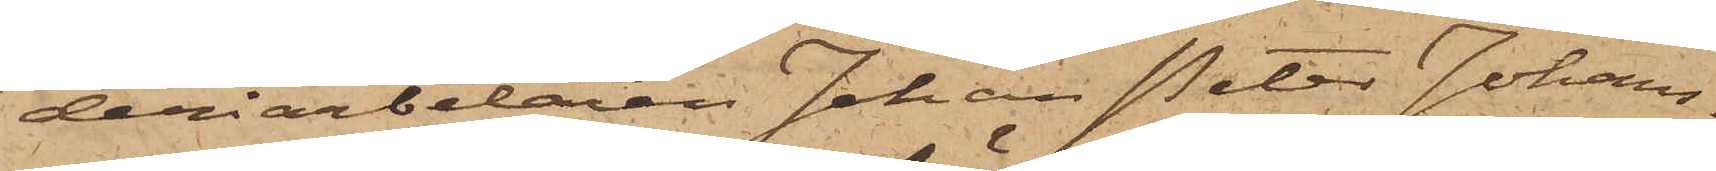deriarbetaren Johan Peter Johans¬
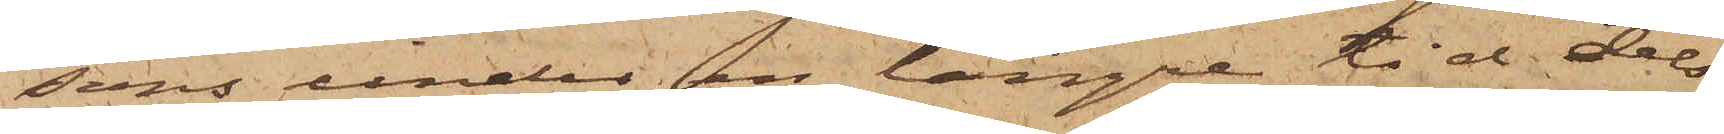sons under en längre tid dels
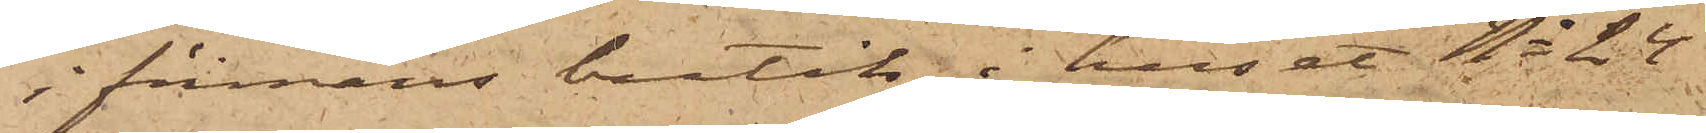i firmans butik i huset No 24
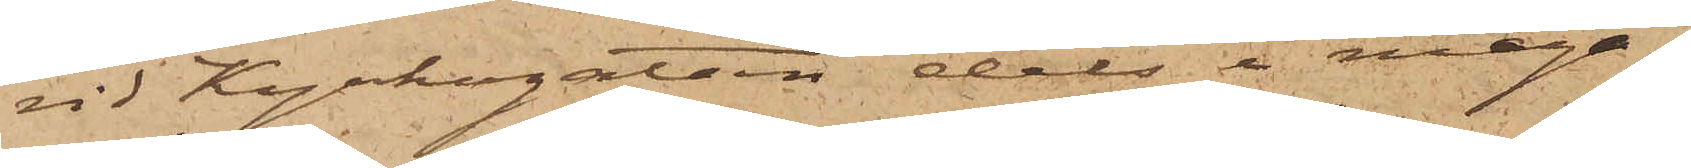vid Kyrkogatan dels i maga¬
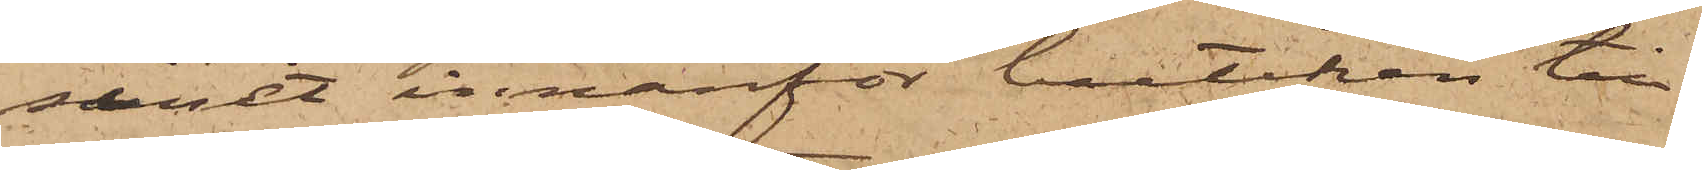sinet innanför butiken till¬
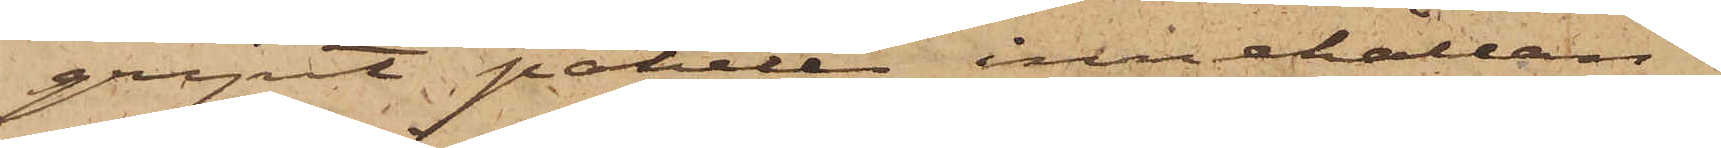gripit paketer innehållan¬
